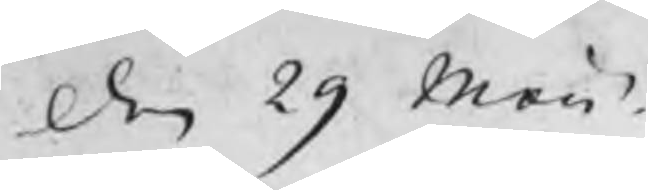den 29 Maii
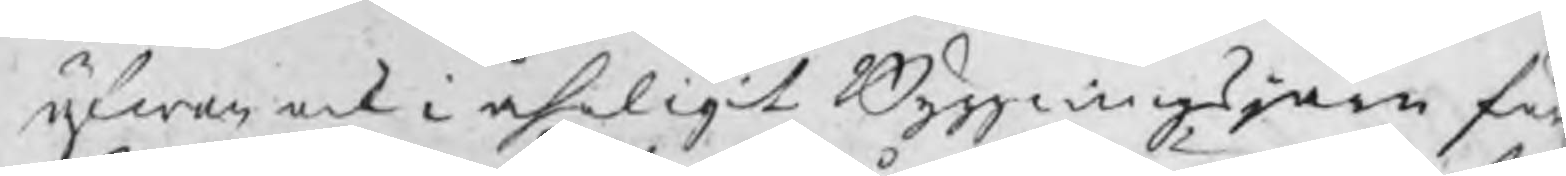äfwen ock i åhrligit Byggningsjärn för
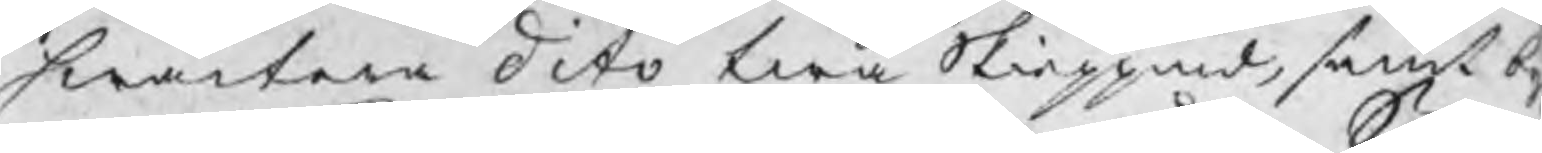hwartera dito twå Skieppund, samt by
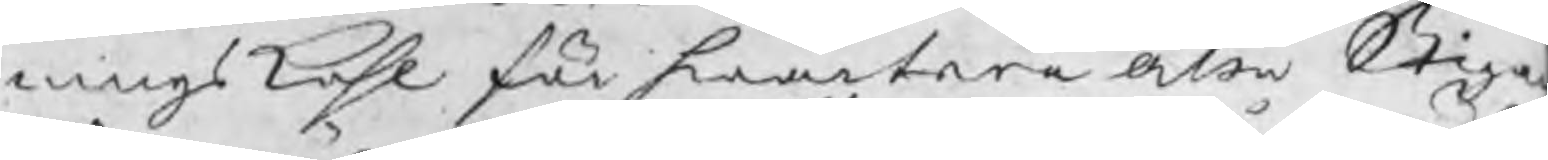ningskohl för hwartera åtta Stiga
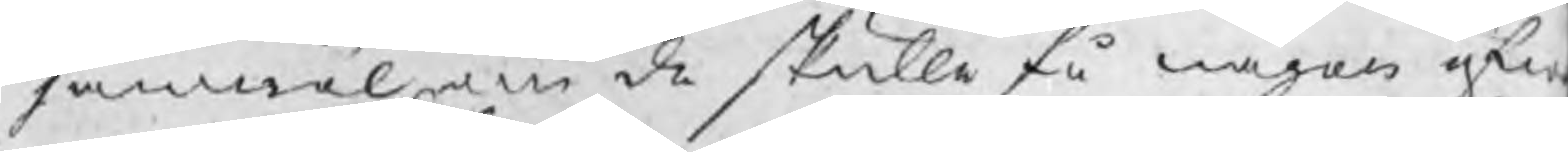jämwäl om de skulle få någon öfw
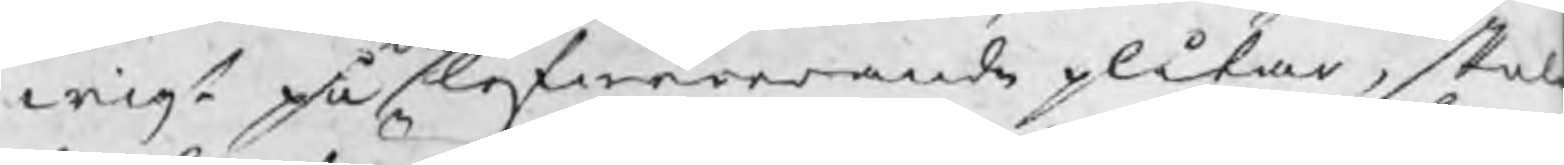wigt på lefwererande plåtar, skal
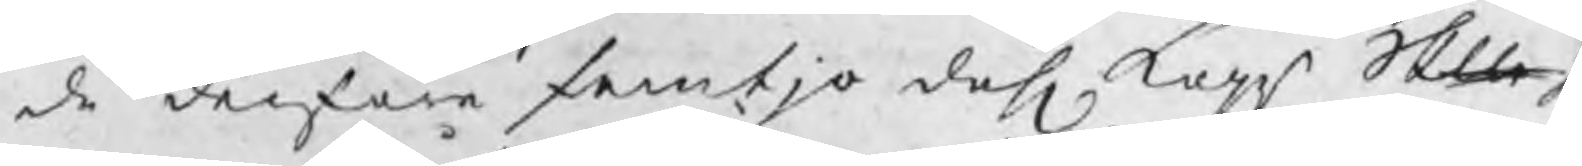de derföre femtjo dahl kopr Skp
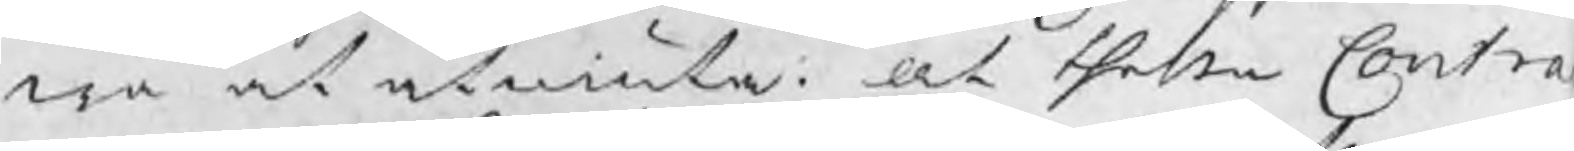rsa at åtniuta: At thessa Contra
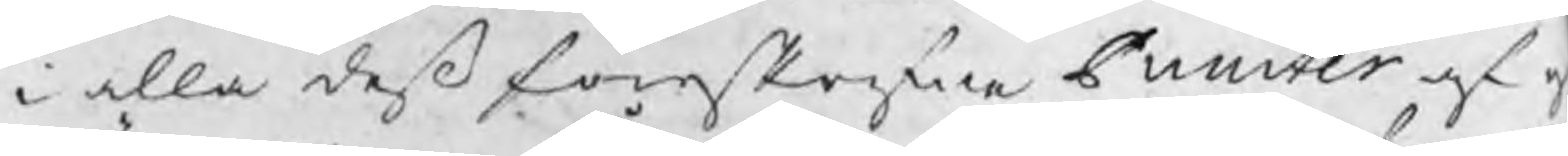i alla deß föreskrefne Puncter af o
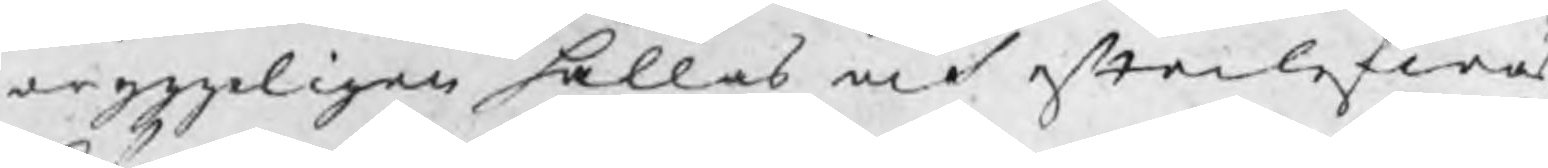dryggeligen hållas och efterlefwas
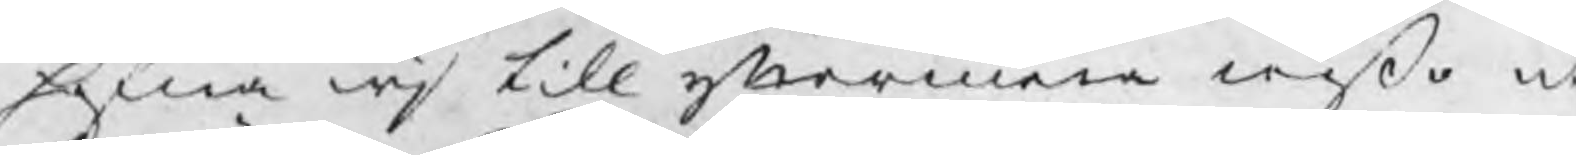hafwa wj till yttermera wißo ut
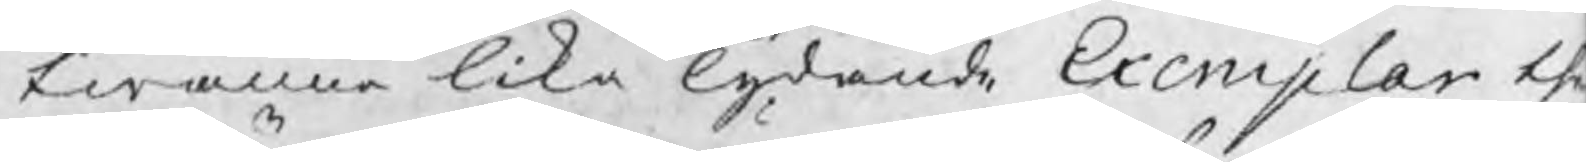twänne lika lydande Exemplar th
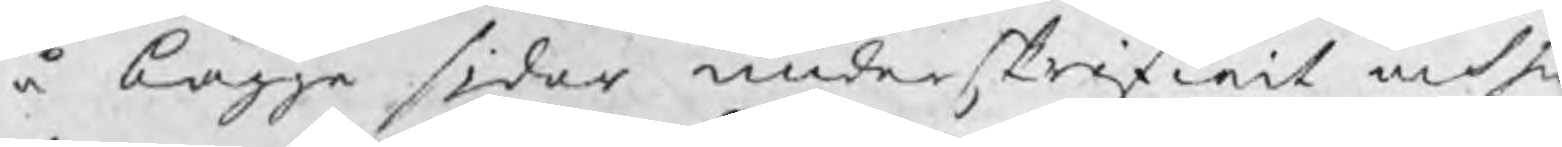å bägge sidor underskrifwit och h
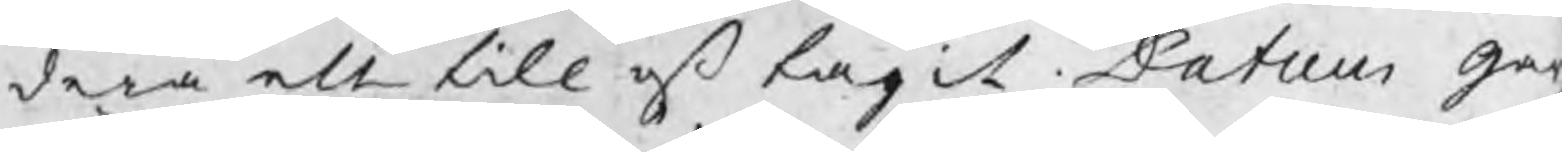dera ett till oß tagit Datum gar
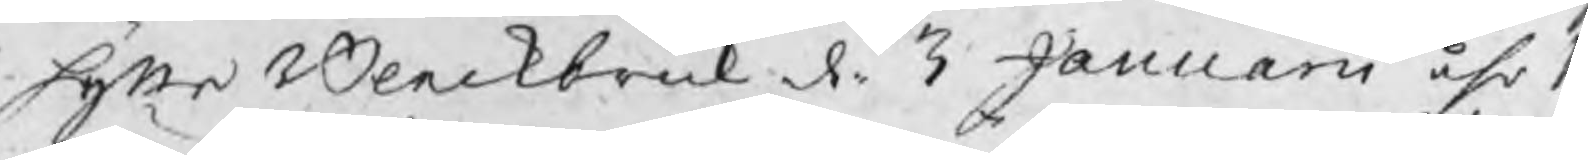hytte Bleckbruk d. 3 Januarii åhr 17
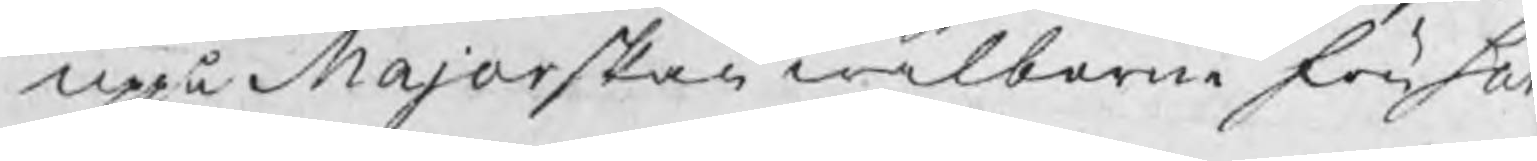uppå Majorskan wälborne fru Sar
